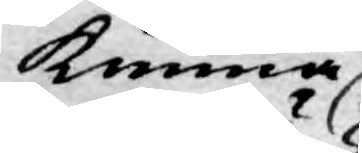kunna
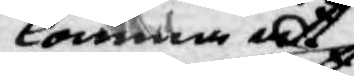komma at
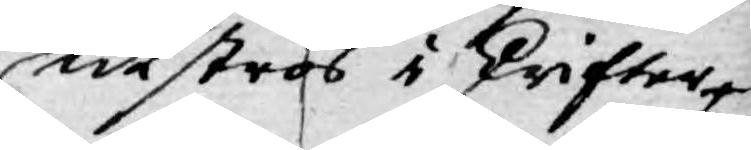utströs i skrifter
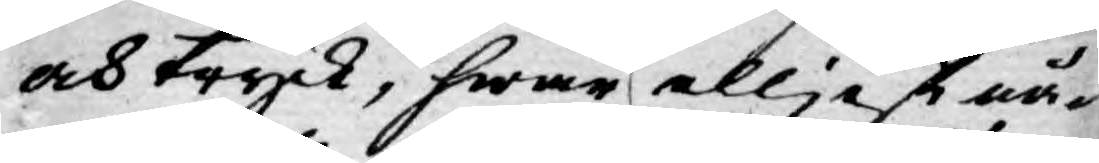och tryck, hwar elljest nå¬
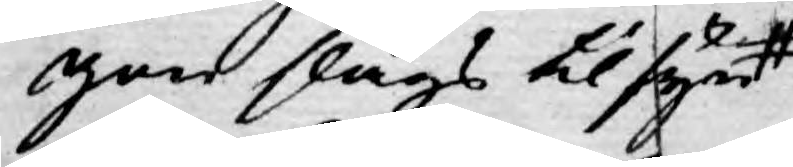gon slags til syn
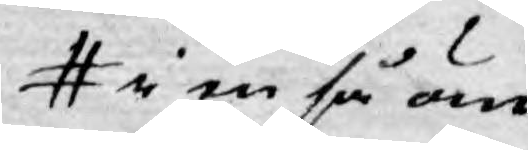i en så än
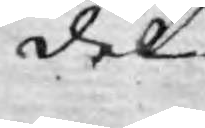del
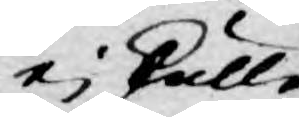ej skulle
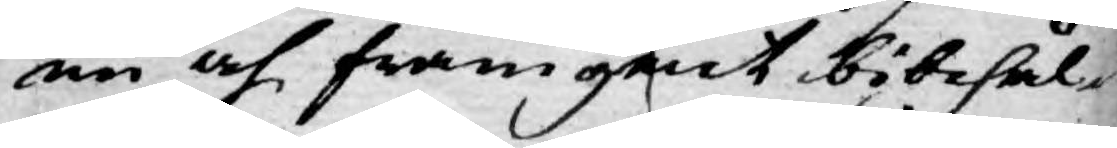nu och framgent bibehål¬
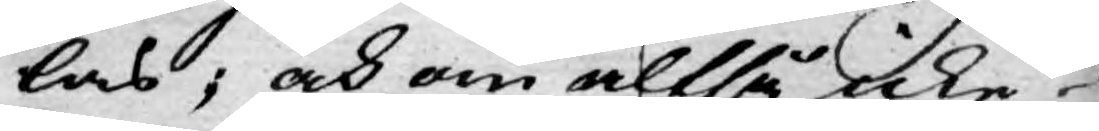las; och om altså icke
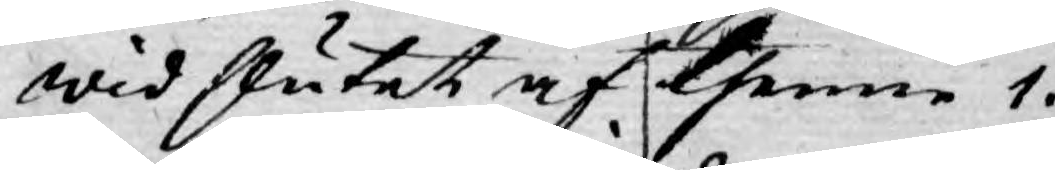wid slutet af thenne 1.
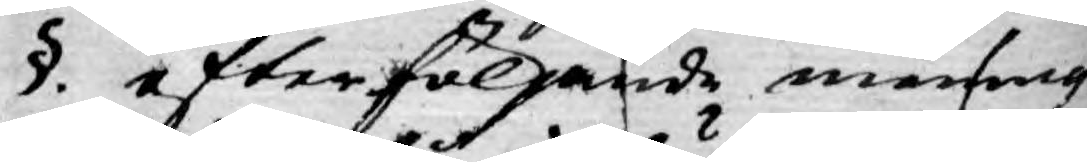§. efterföljande mening
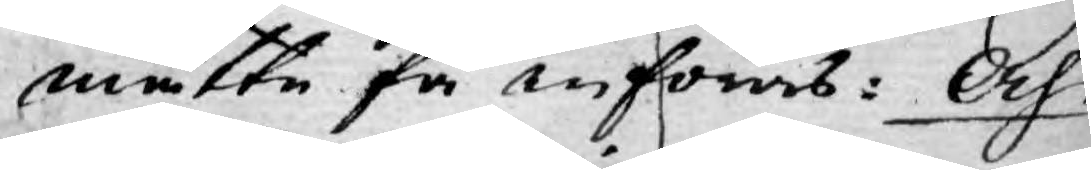måtte få införas. Och
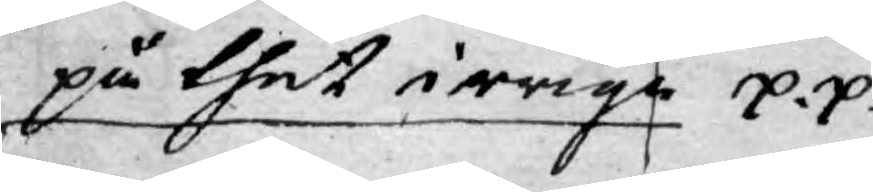på thet irrige p.p.
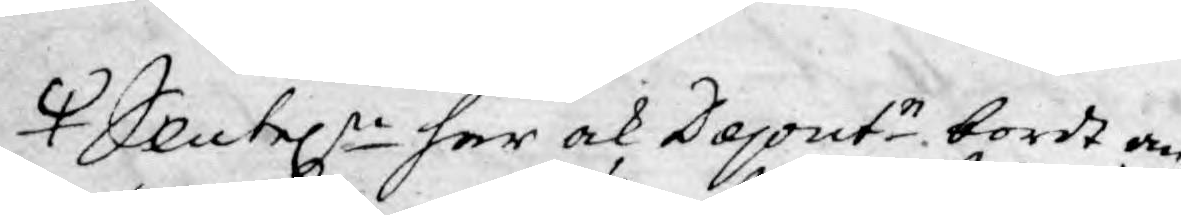Slutel:n har ock Deput:r bordt an¬
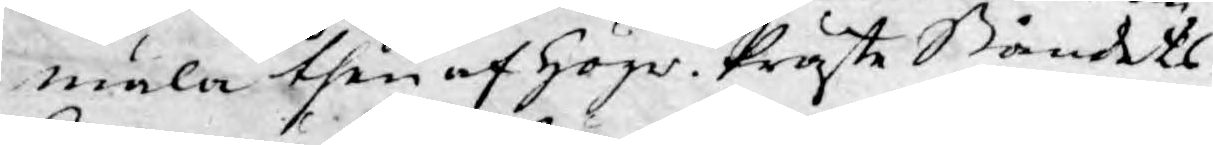mäla then af Högw. Präste Ståndets
